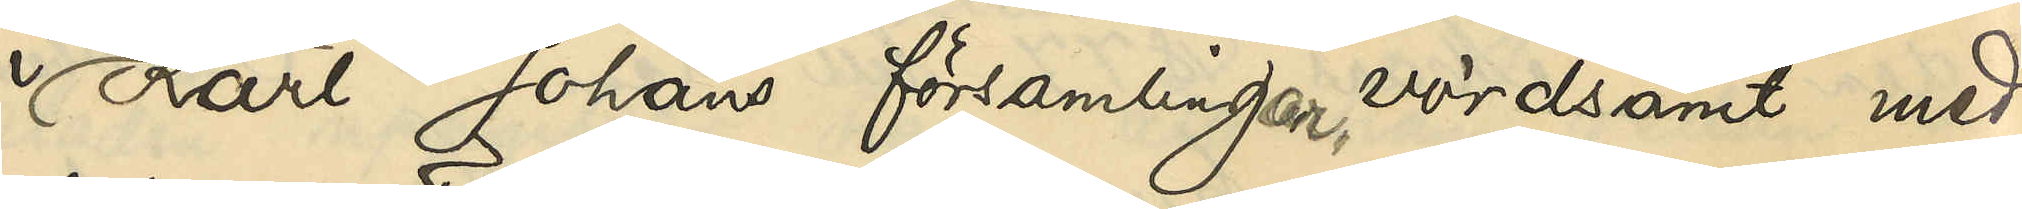i Karl Johans församlingar, vördsamt med¬
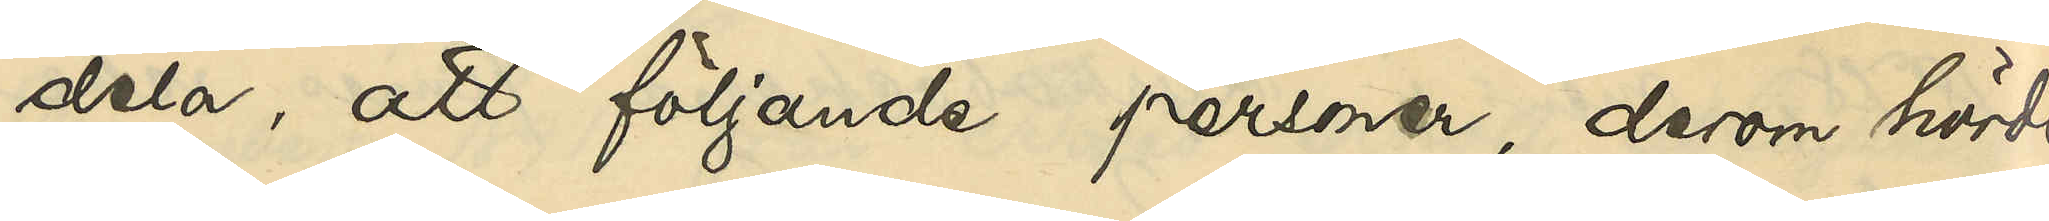dela, att följande personer, derom hörde
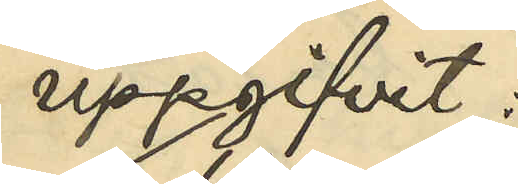uppgifvit:
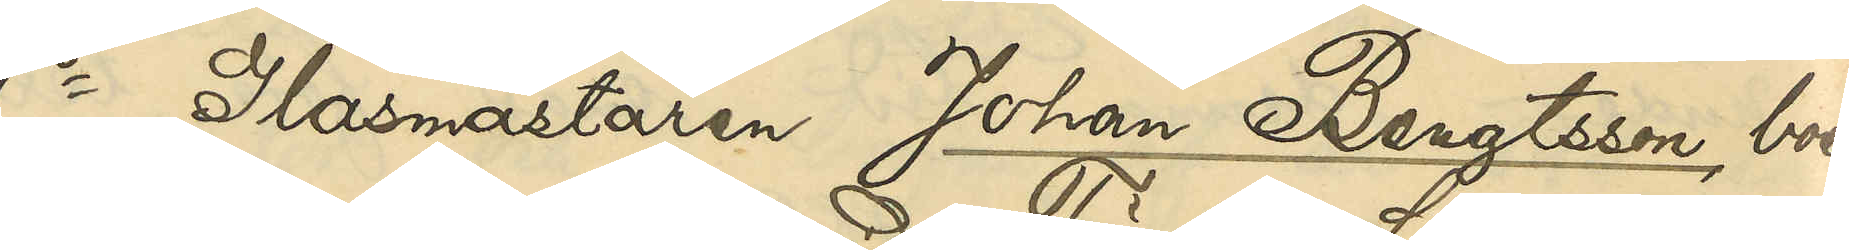1o Glasmästaren Johan Bengtsson, boen¬
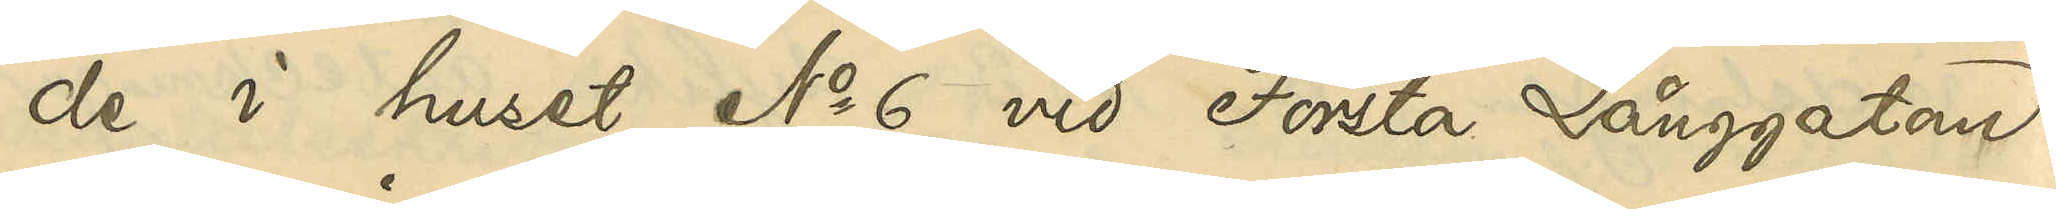de i huset No 6 vid Första Långgatan:
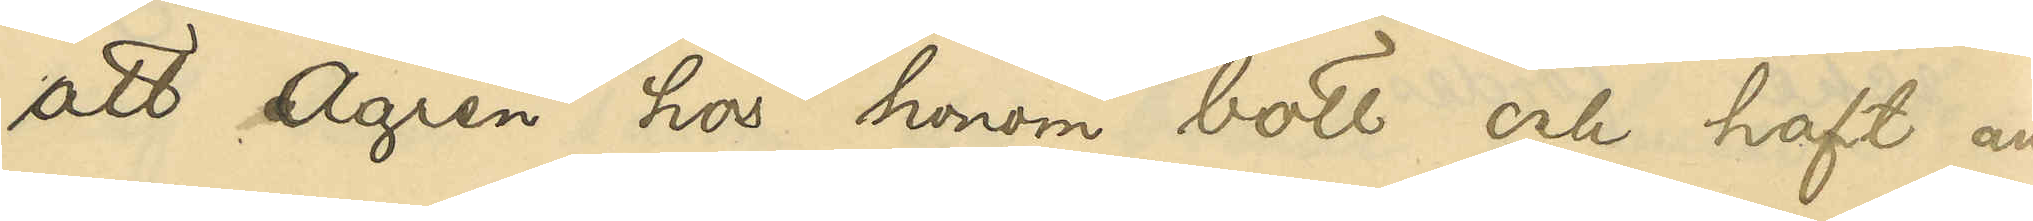att Ågren hos honom bott och haft an¬
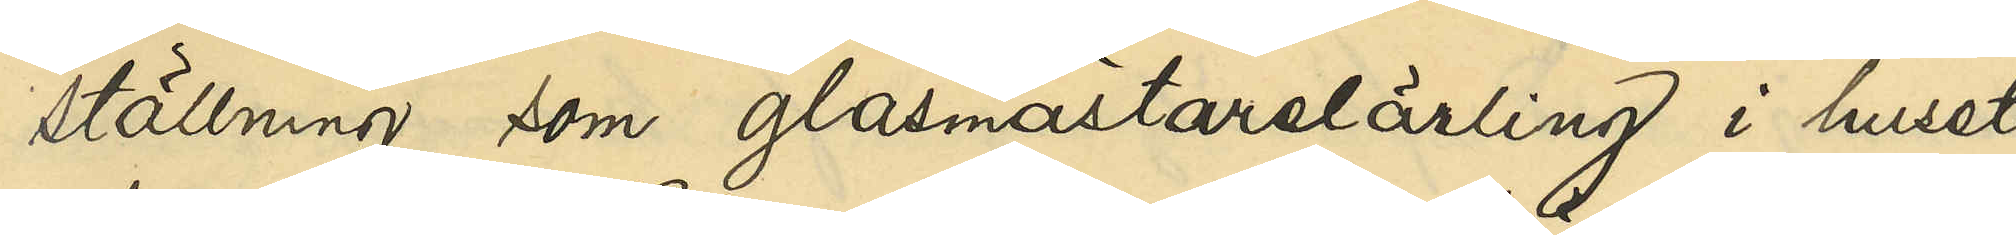ställning som glasmästarelärling i huset
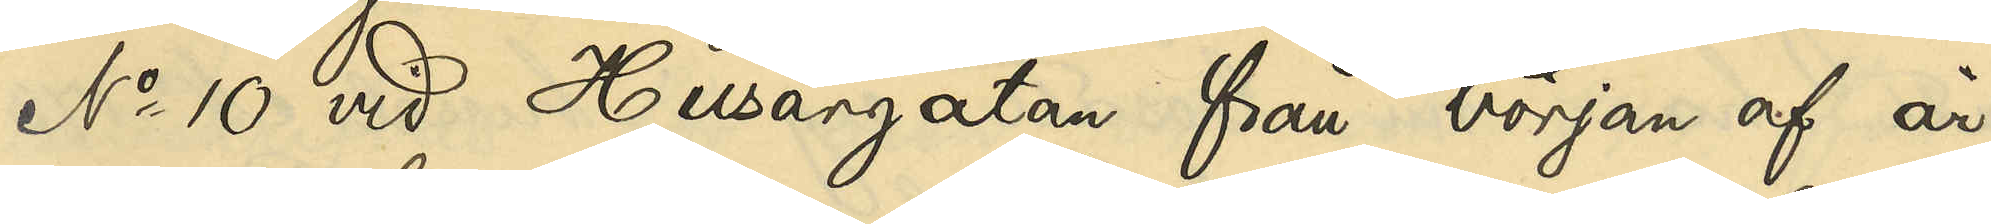No 10 vid Husargatan från början af år
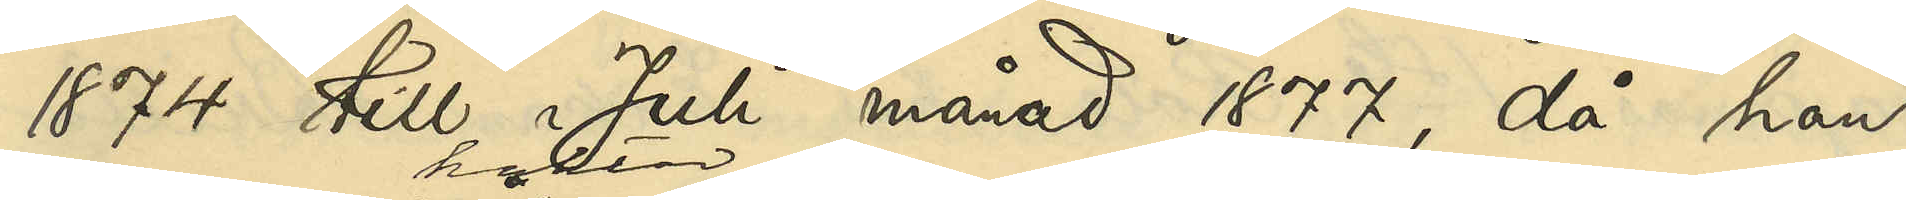1874 till Juli månad 1877, då han
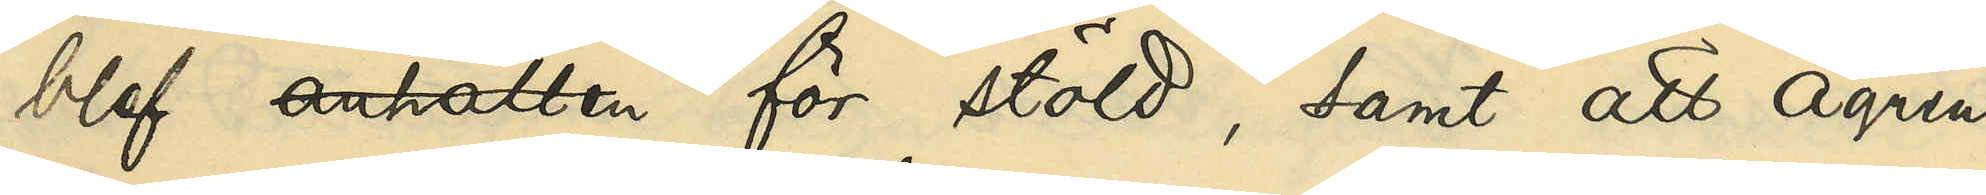blef anhållen häktad för stöld, samt att Ågren
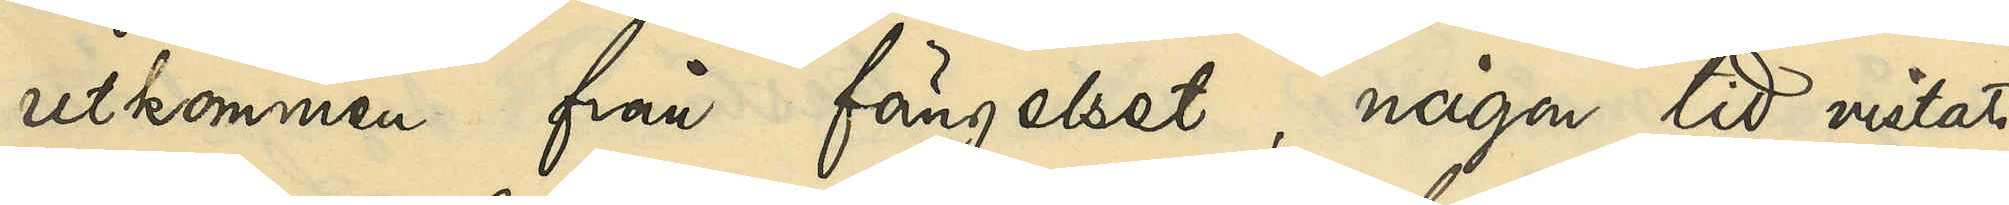utkommen från fängelset, någon tid vistats
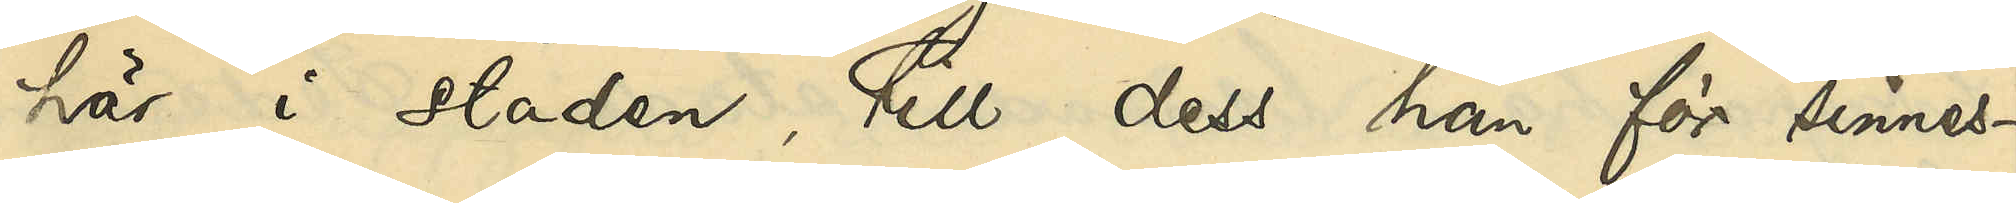här i staden, tills dess han för sinnes¬
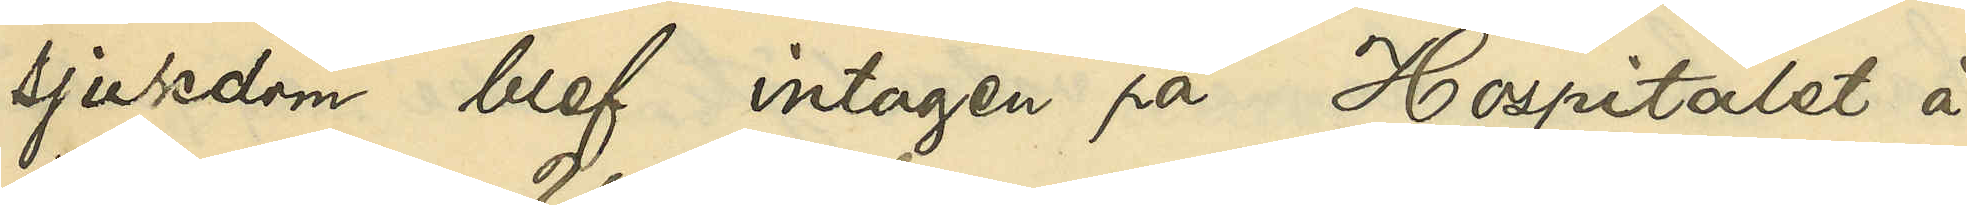sjukdom blef intagen på Hospitalet å
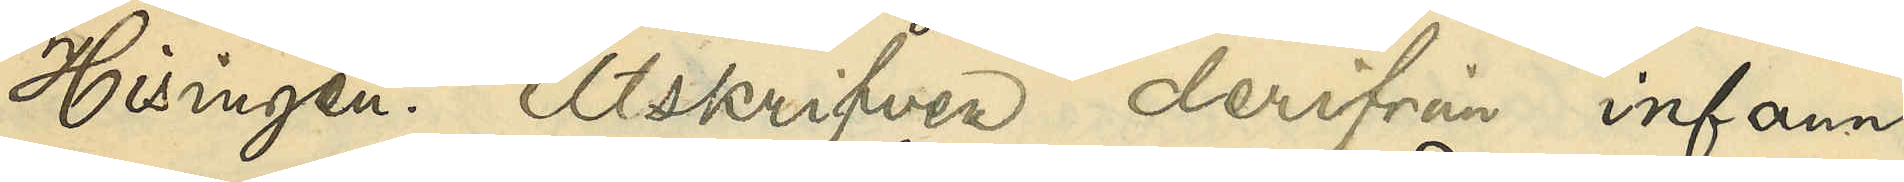Hisingen. Utskrifven derifrån infann
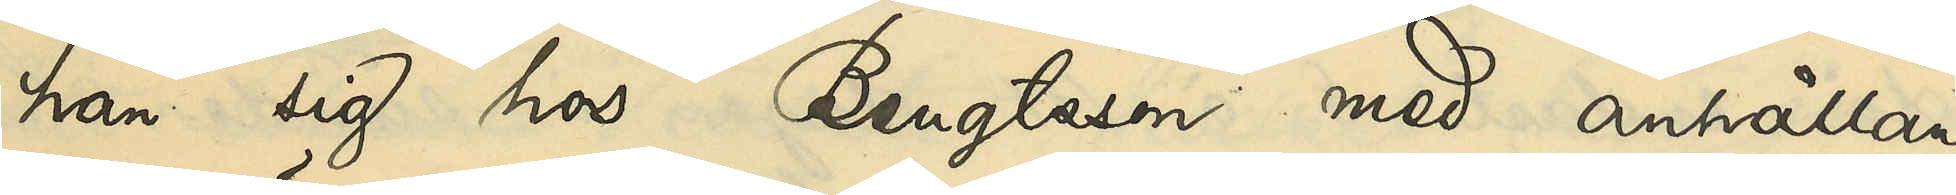han sig hos Bengtsson med anhållan
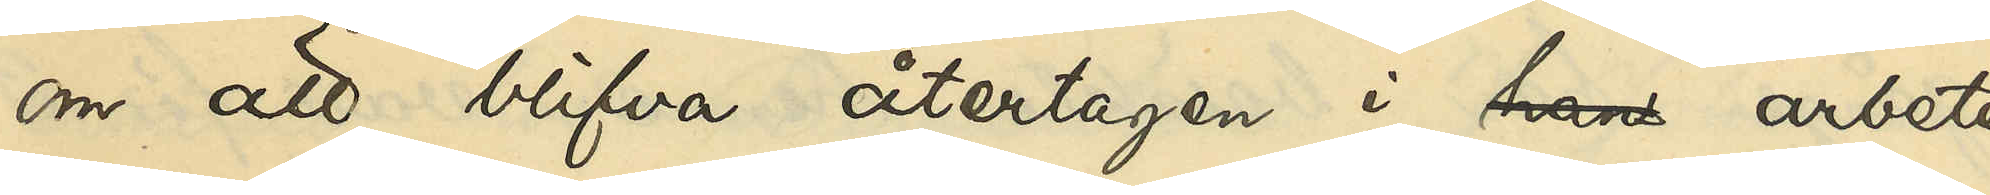om att blifva återtagen i hans arbete,
